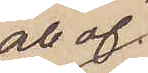och af
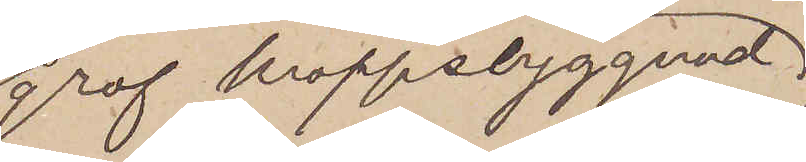grof kroppsbyggnad
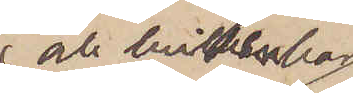 och hvikt, har
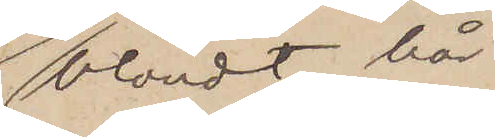blondt hår,
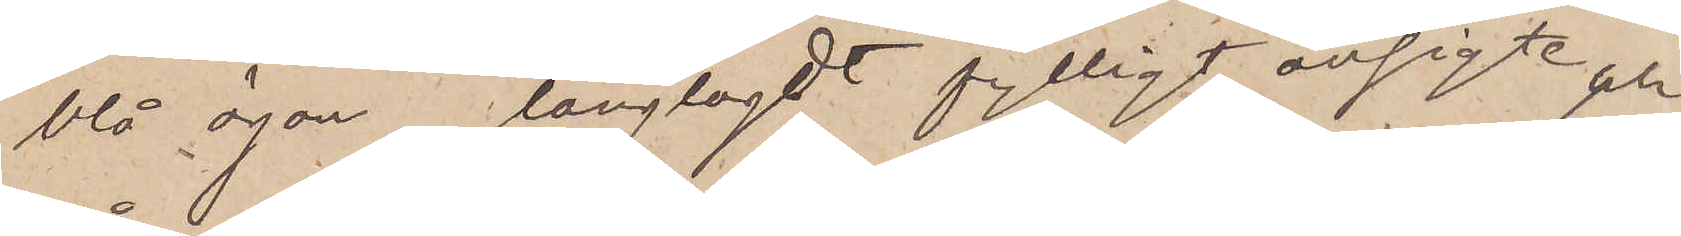blå ögon, långlagdt fylligt ansigte och
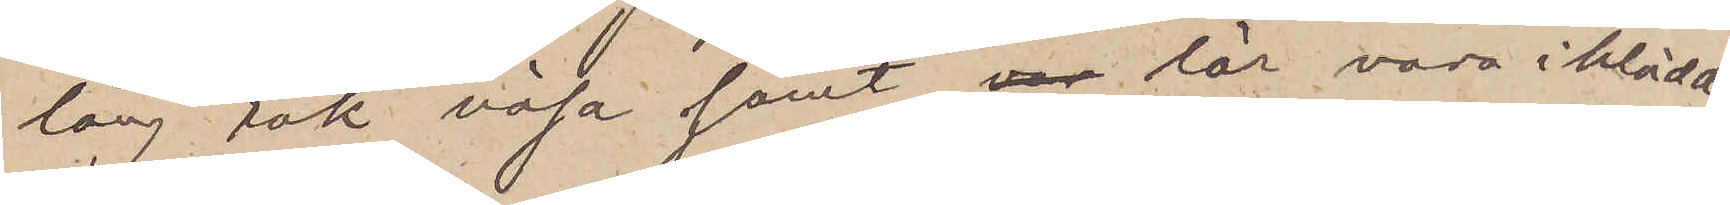lång rak näsa samt lär vara iklädd
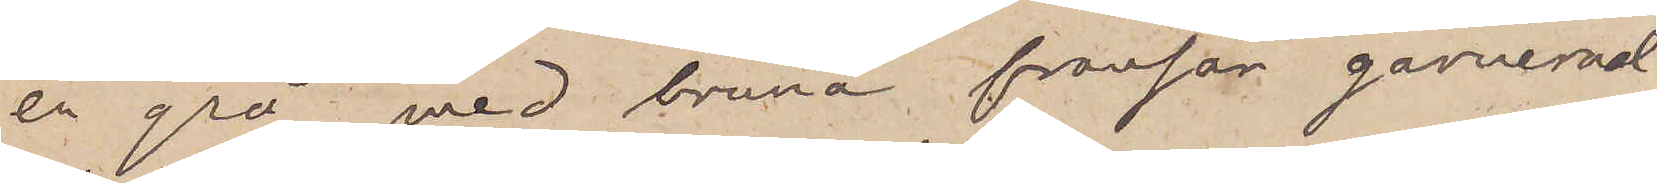en grå, med bruna fransar garnerad
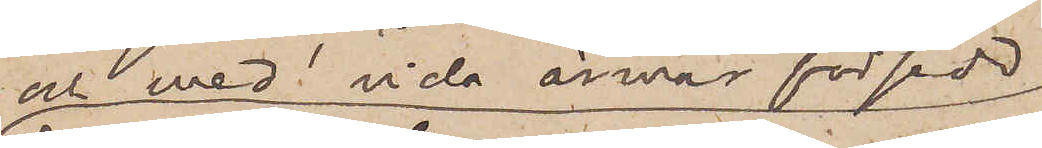och med vida ärmar försedd
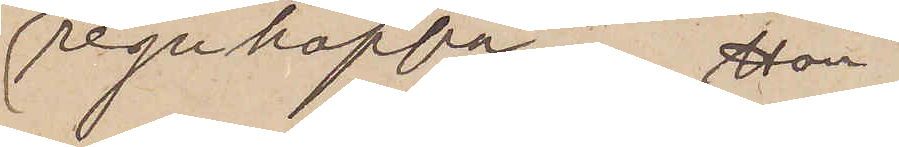regnkappa. Hon
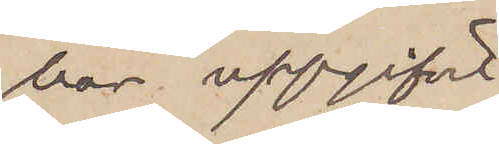har uppgifvit,
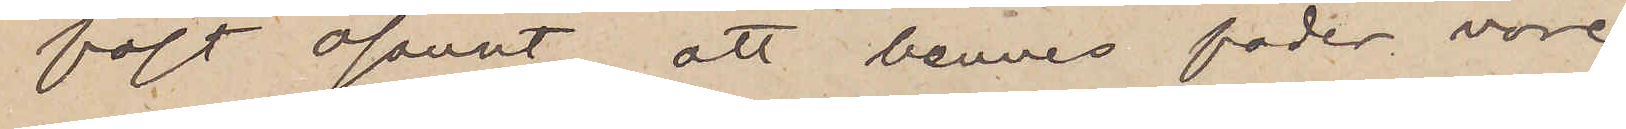fast osannt, att hennes fader vore
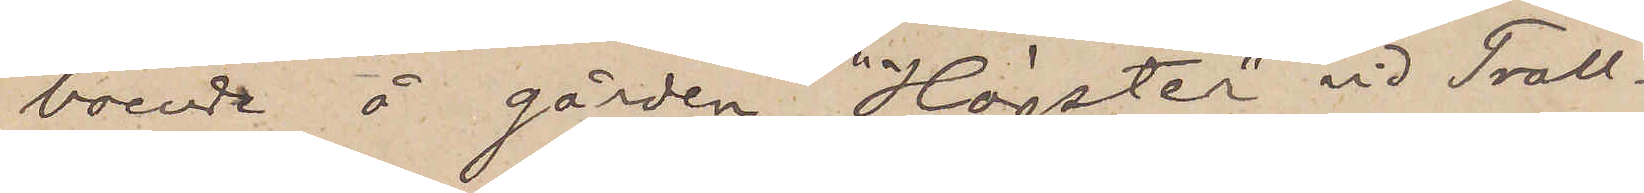boende å gården "Högsten" vid Troll¬
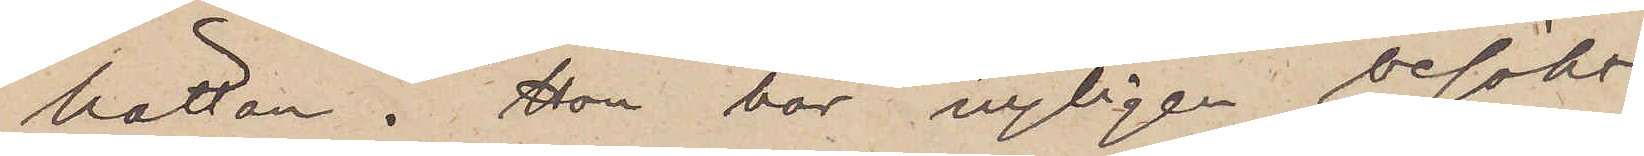hättan. Hon har nyligen besökt
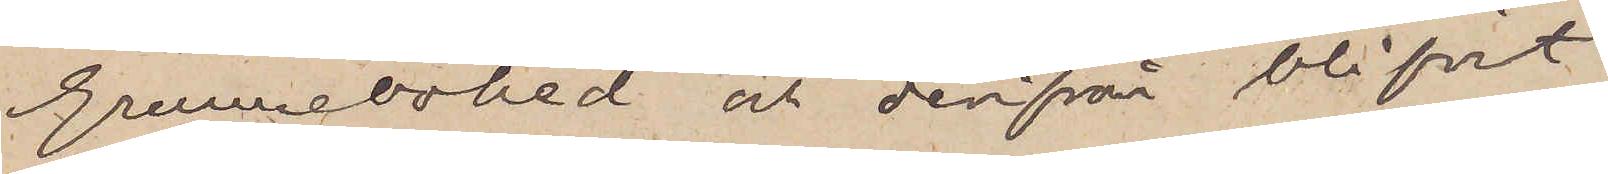Grunnebohed och derifrån blifvit
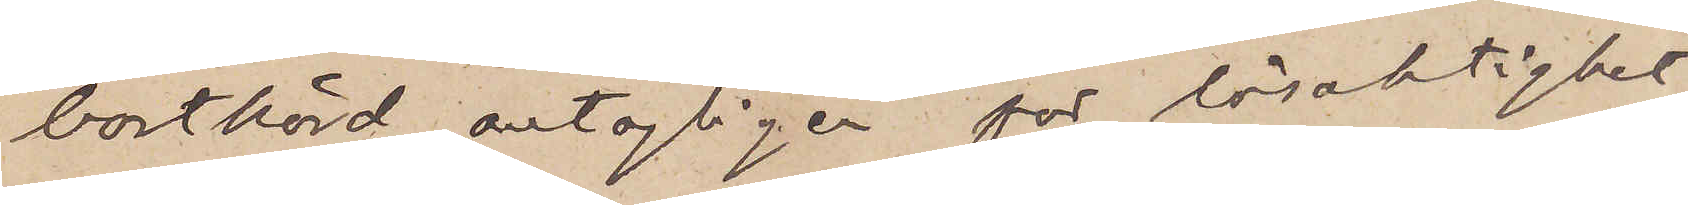bortkörd, antagligen för lösaktighet,
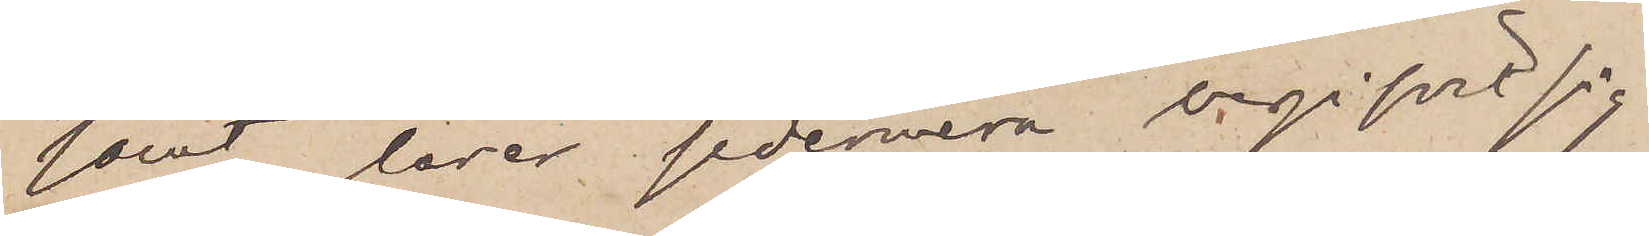samt lärer sedermera begifvit sig
